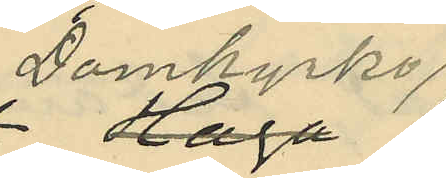domkyrko
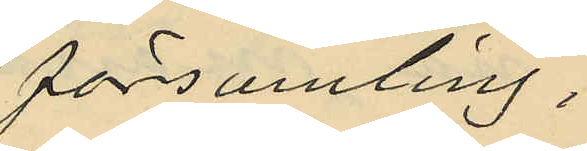församling;
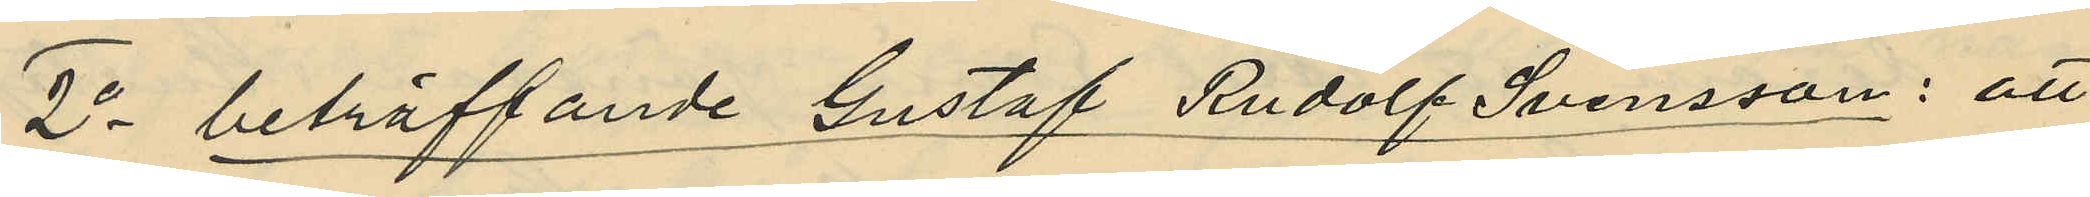2o beträffande Gustaf Rudolf Svensson: att
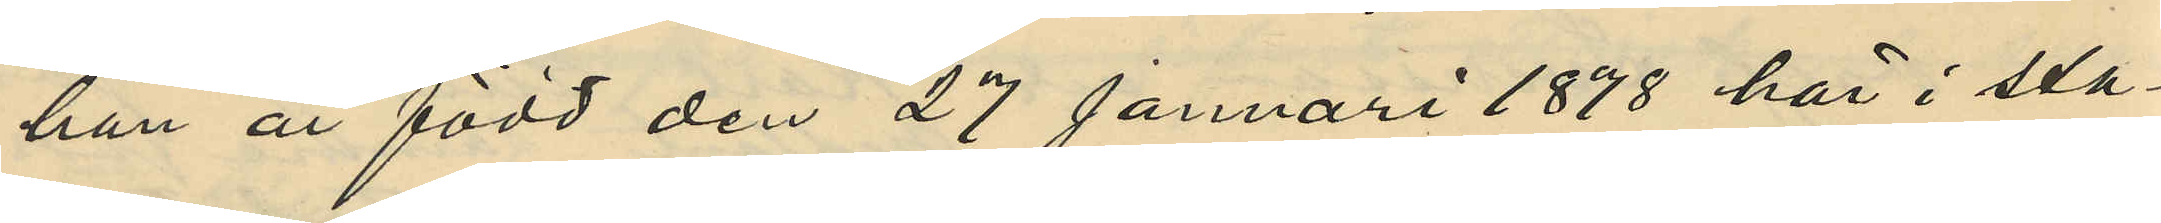han är född den 27 Januari 1878 här i sta¬
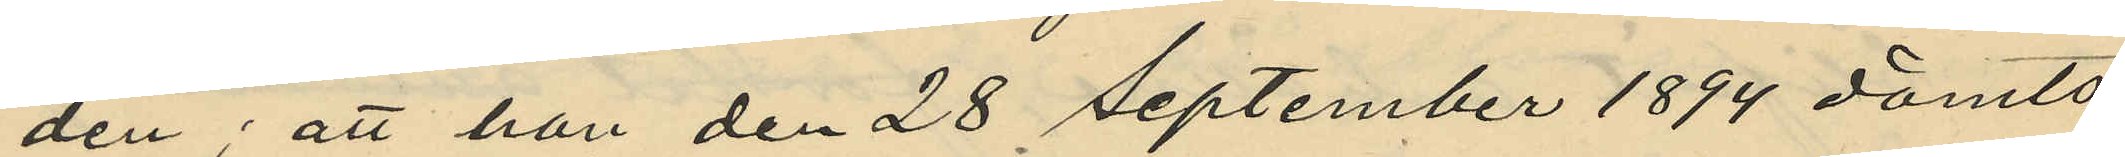den; att han den 28 September 1894 dömts
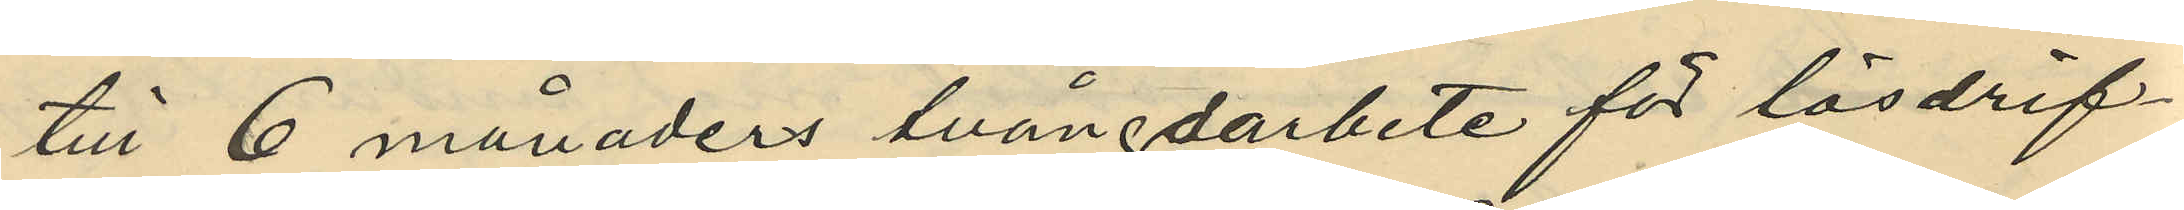till 6 månaders tvångarbete för lösdrif¬
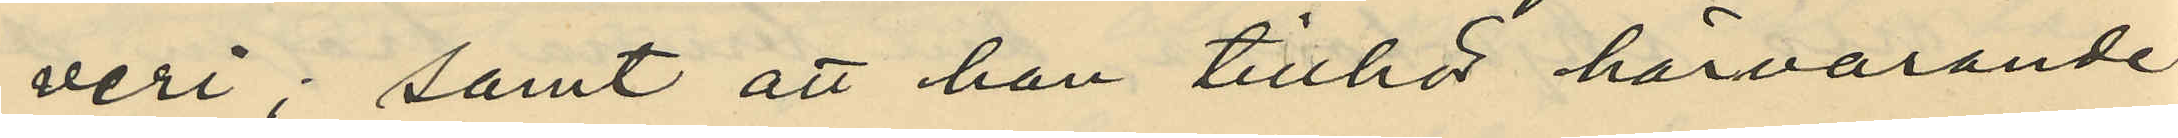veri; samt att han tillhör härvarande
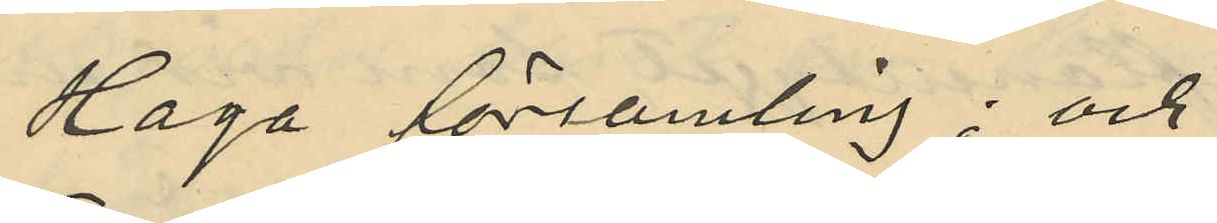Haga församling; och
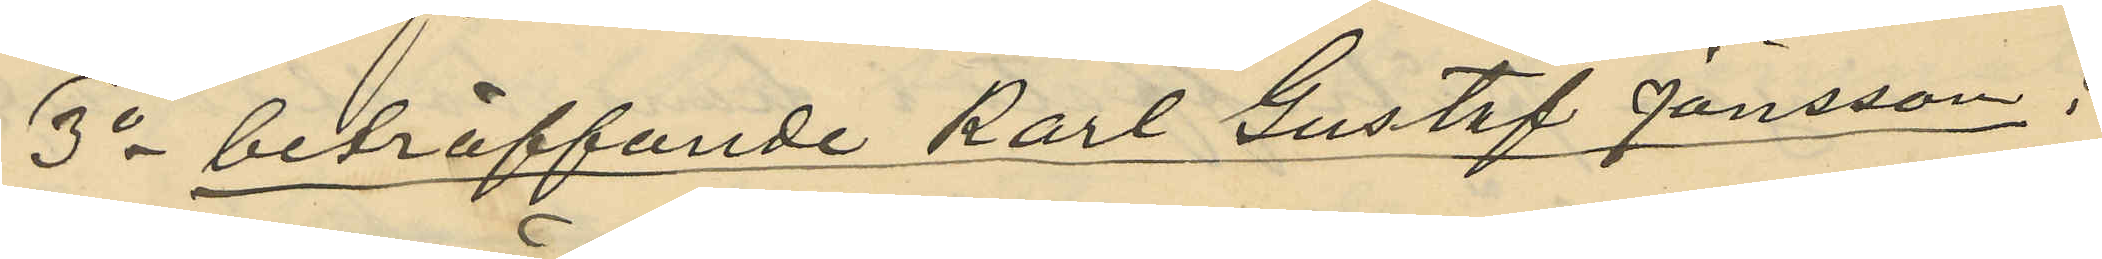3o beträffande Karl Gustaf Jönsson:
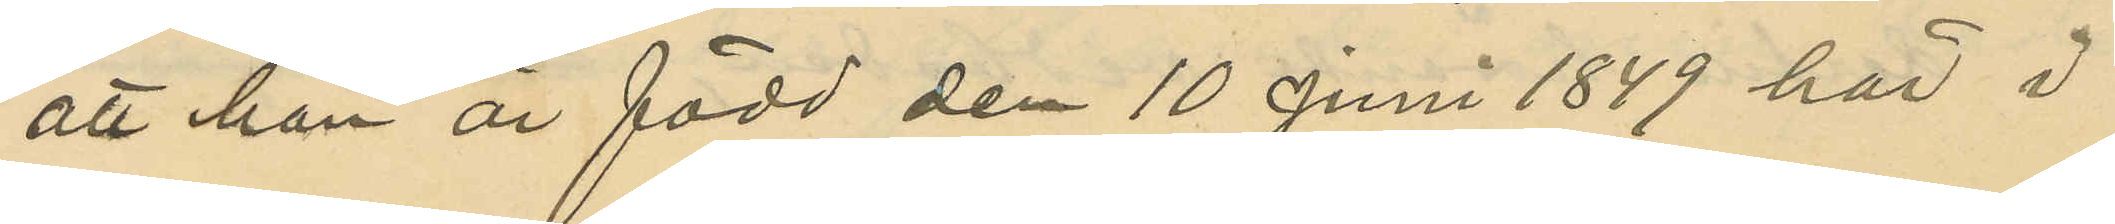att han är född den 10 Juni 1849 här i
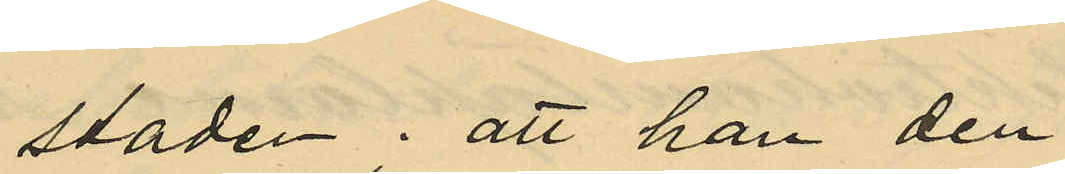staden; att han den
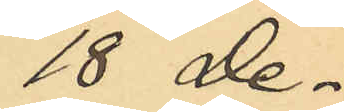18 De¬
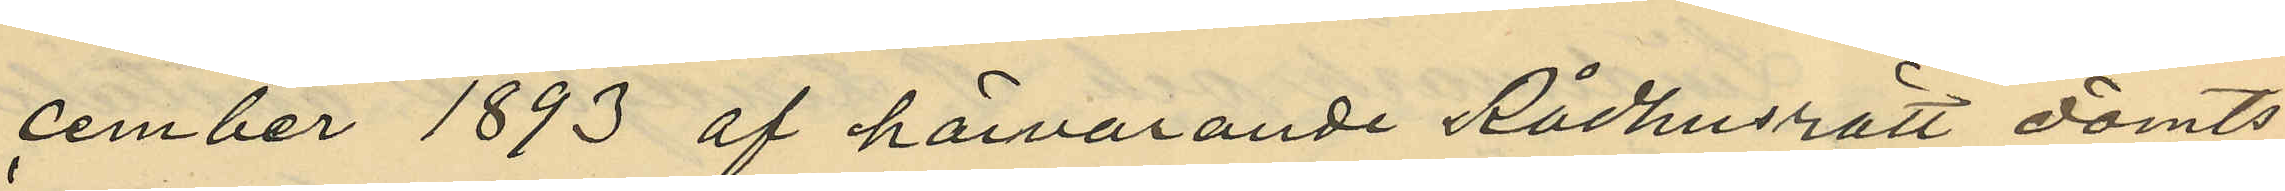cember 1893 af härvarande Rådhusrätt dömts
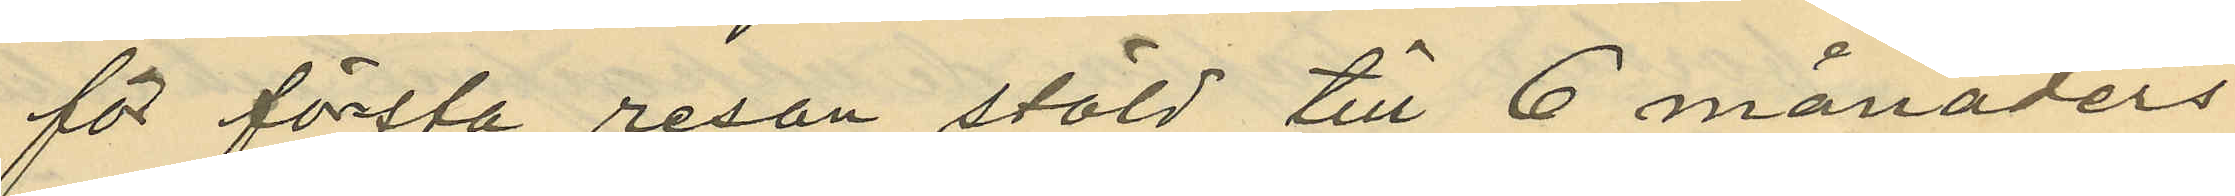för första resan stöld till 6 månaders
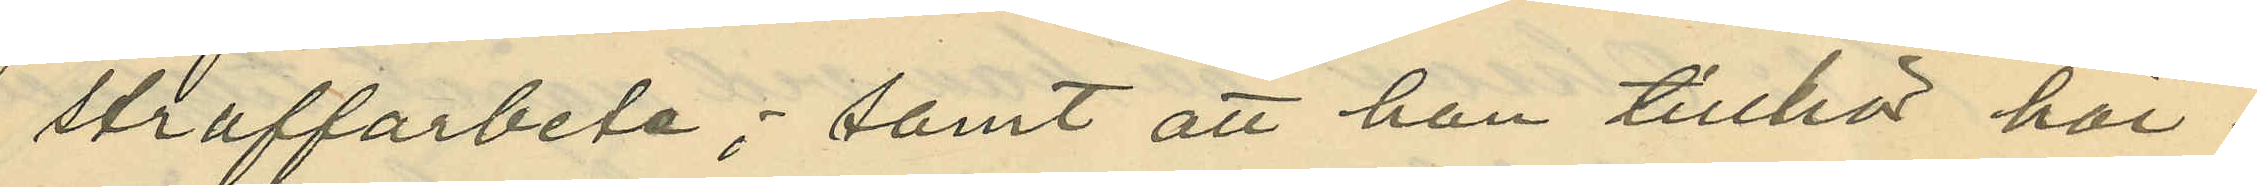straffarbete; samt att han tillhör här¬
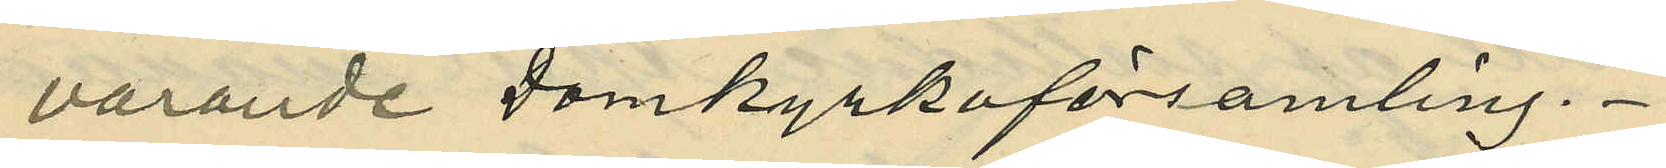varande Domkyrkoförsamling.
